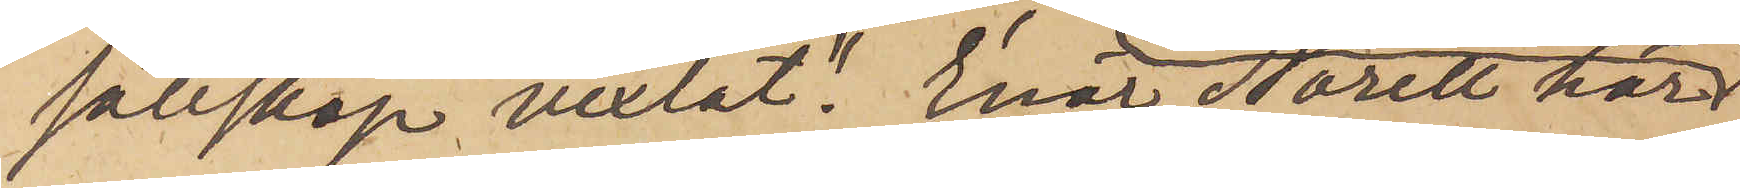sällskap vexlat". Enär Norell här
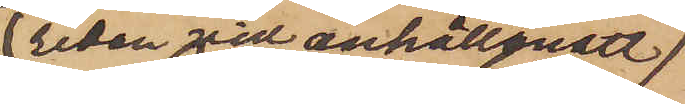redan vid anhållandet
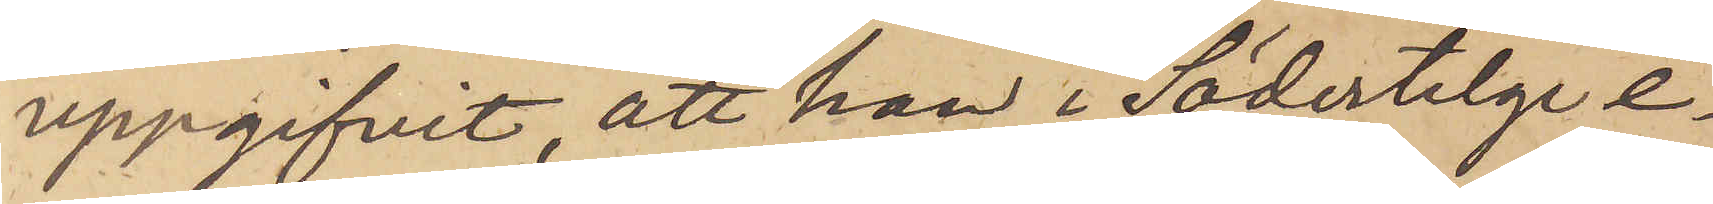uppgifvit, att han i Södertelge e¬
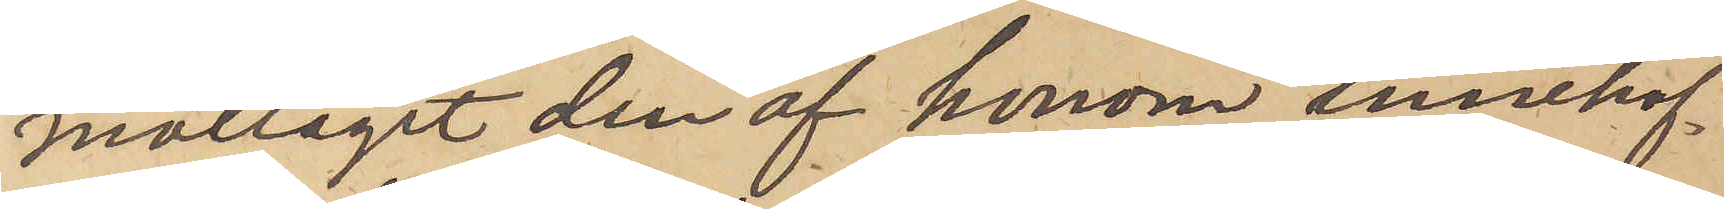mottagit den af honom innehaf¬
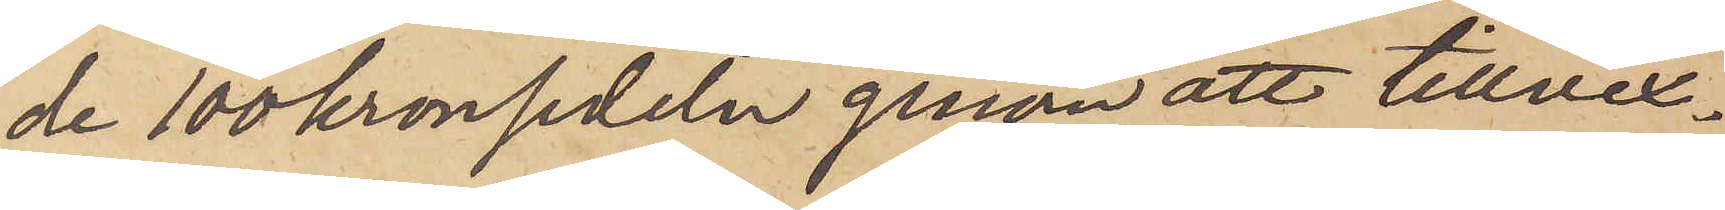de 100kronsedeln genom att tillvex¬
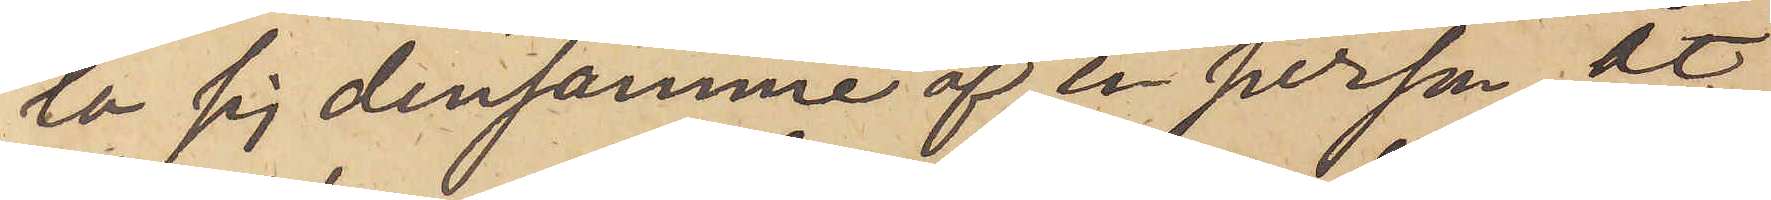la sig densamme af en person, åt
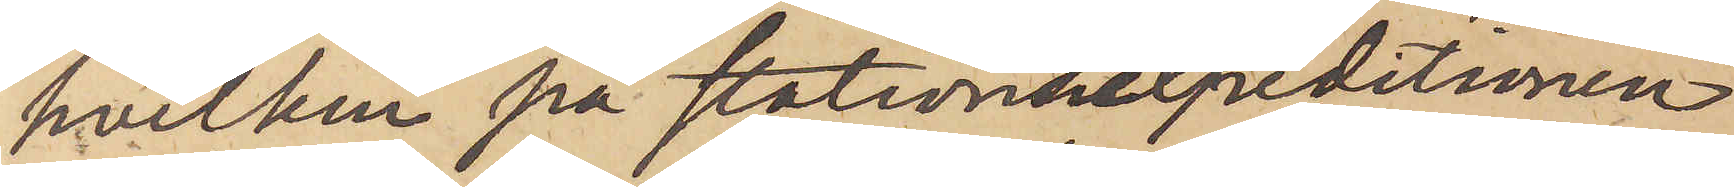hvilken på stationsexpeditionen
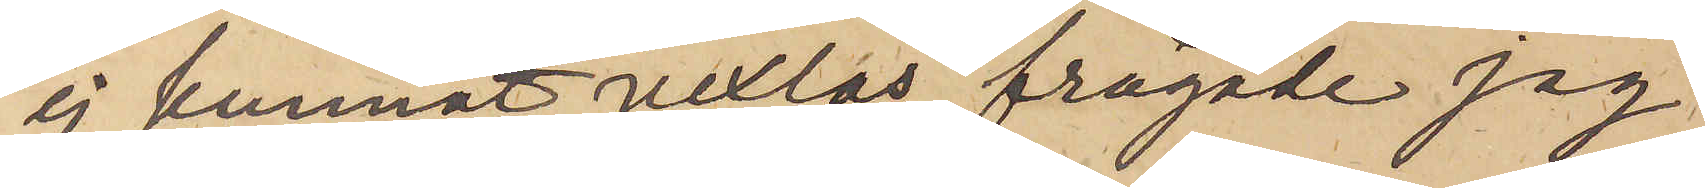ej kunnat vexlas, frågade jag
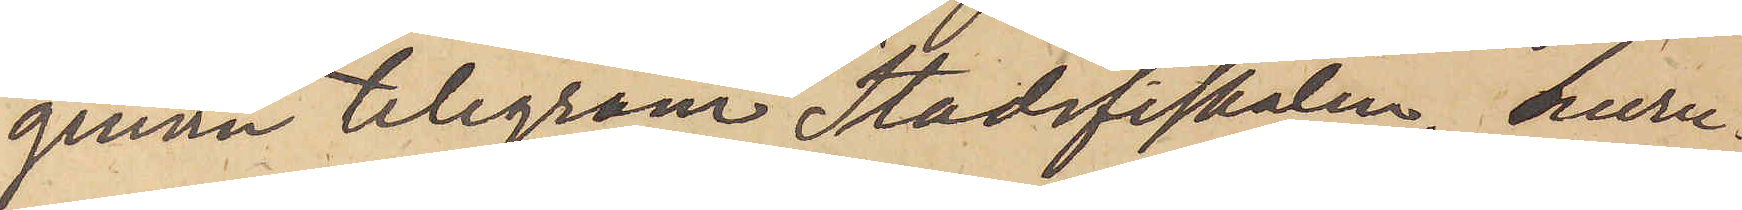genom telegram Stadsfiskalen, huru¬
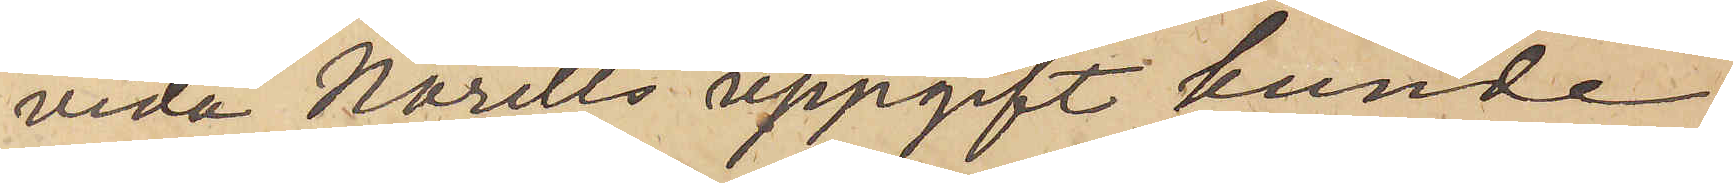vida Norells uppgift kunde
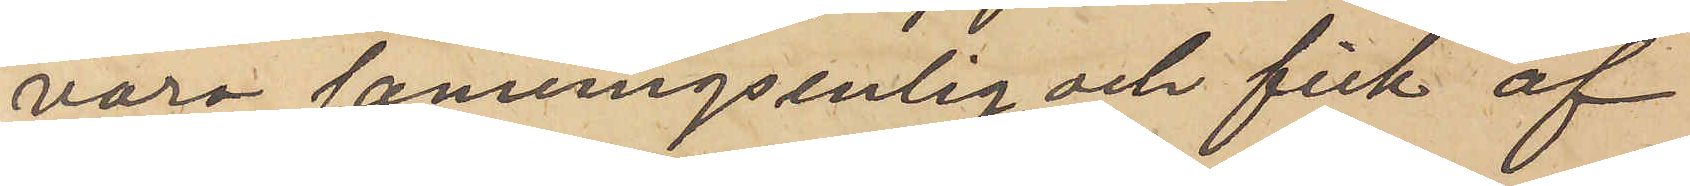vara sanningsenlig, och fick af
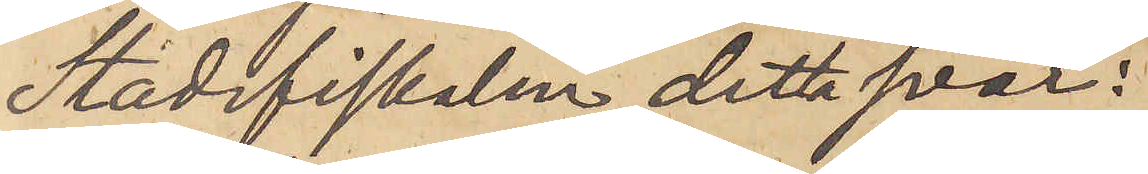Stadsfiskalen detta svar:
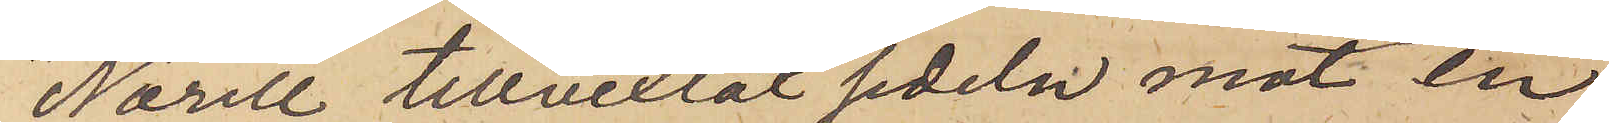"Norell tillvexlat sedeln mot en
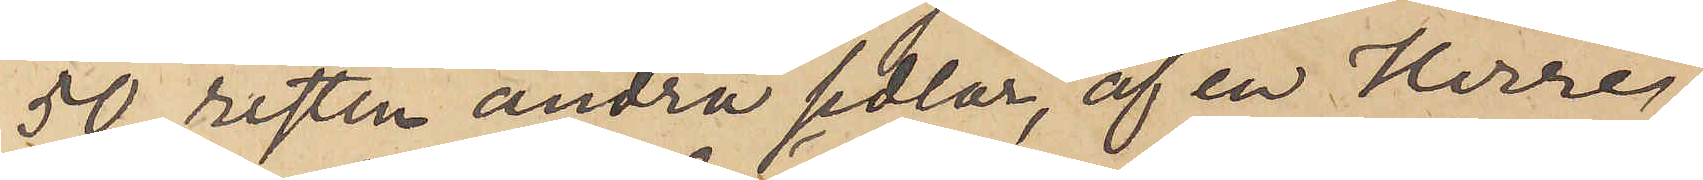50, resten andra sedlar, af en Herre,
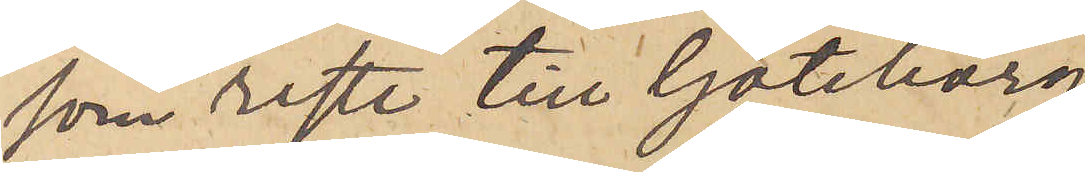som reste till Göteborg.
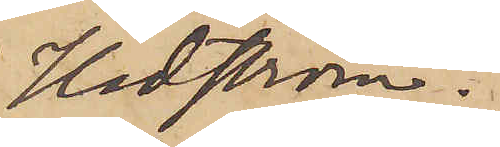Hedström."
